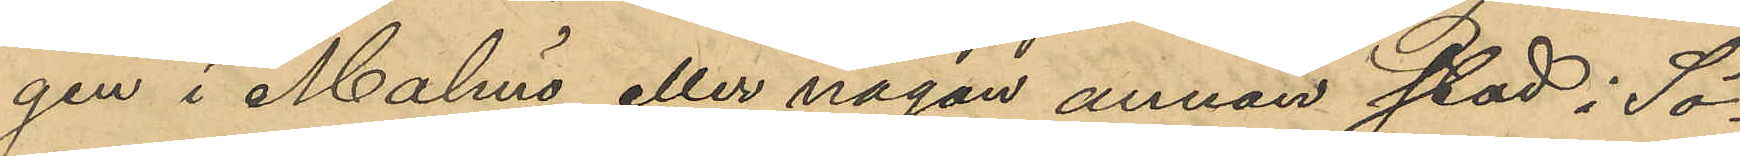gen i Malmö eller någon annan stad i Sö¬
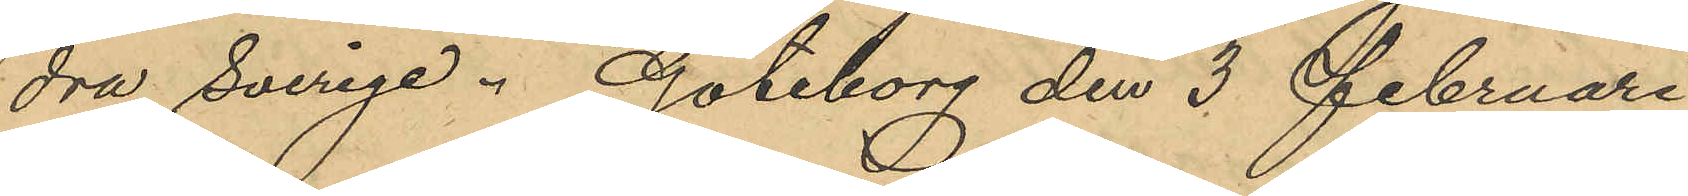dra Sverige. Göteborg den 3 Februari
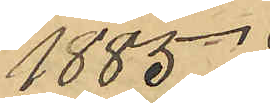1885.
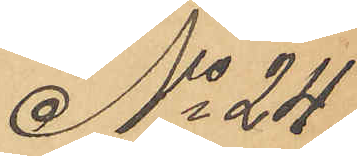No 24.
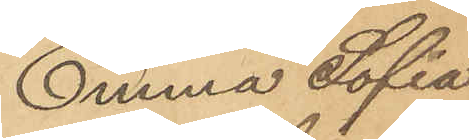Emma Sofia
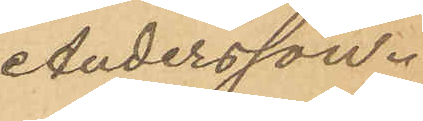Andersson.
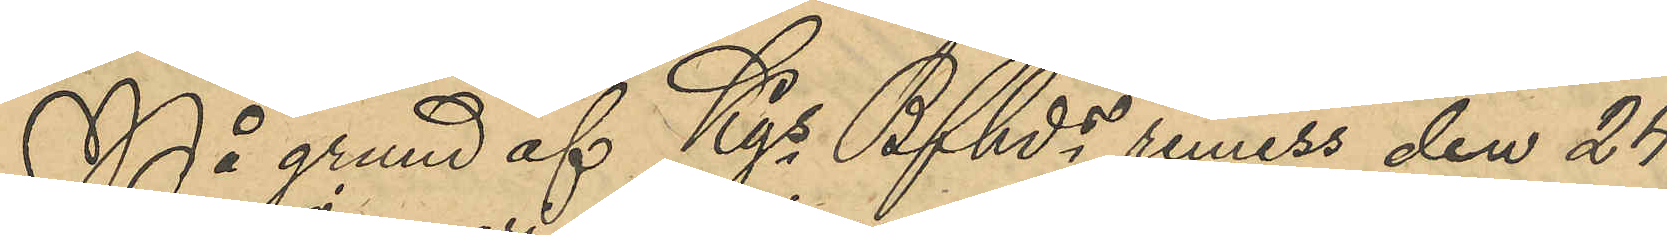På grund af Kgs Bfhds remiss den 24
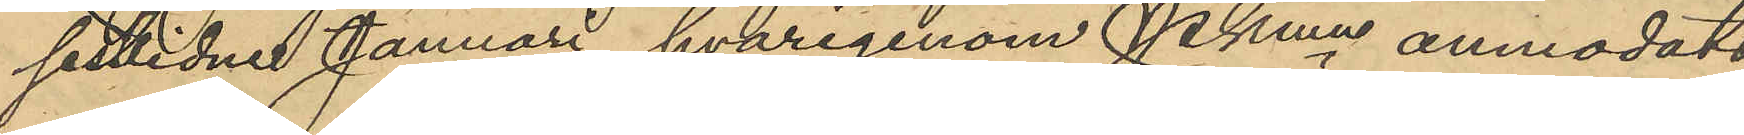sistlidne Januari, hvarigenom Pkmn anmodats
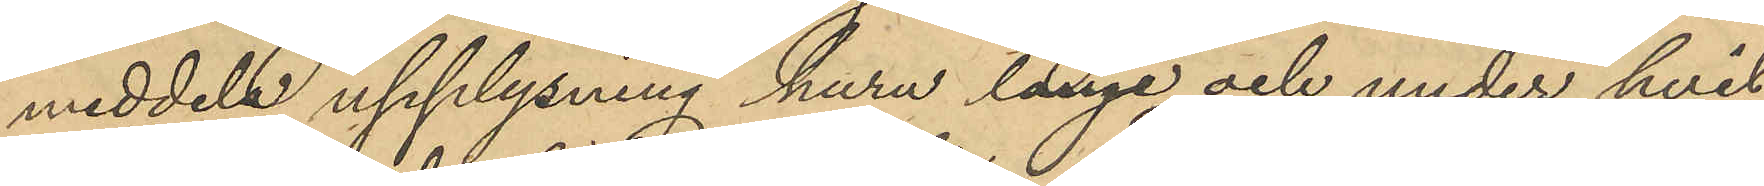meddela upplysning huru länge och under hvil¬
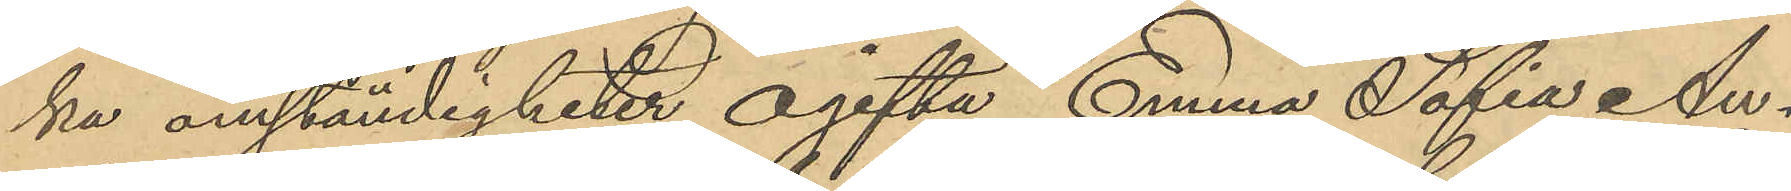ka omständigheter ogifta Emma Sofia An¬
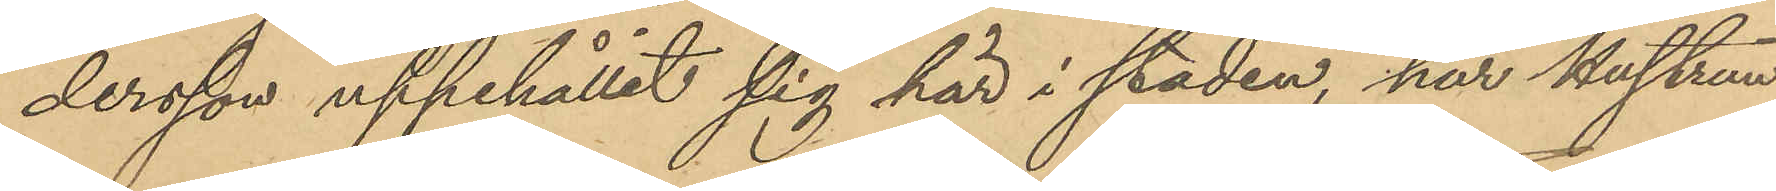dersson uppehållit sig här i staden, har Hustrun
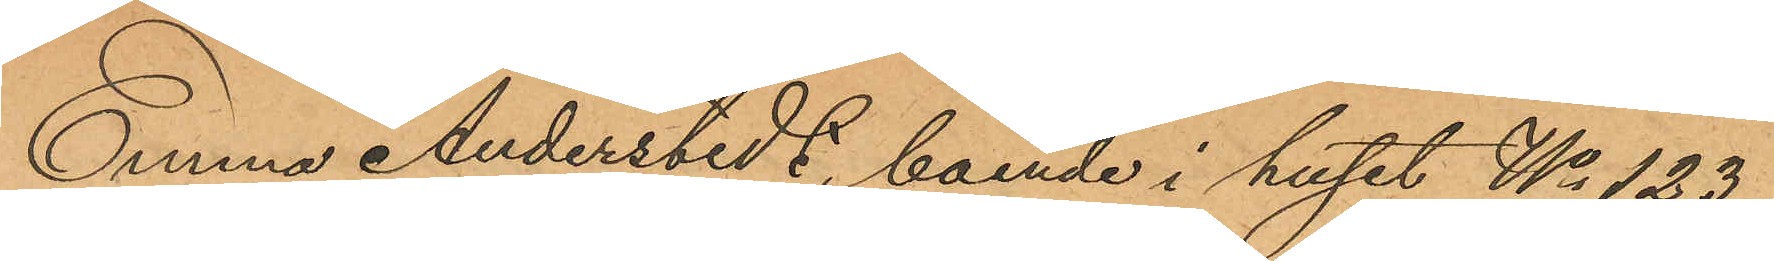Emma Anderstedt, boende i huset No 123
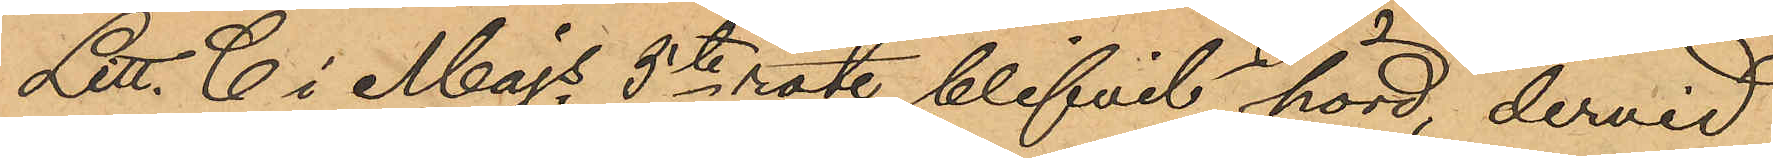Litt. C i Majs 5te rote blifvit hörd, dervid
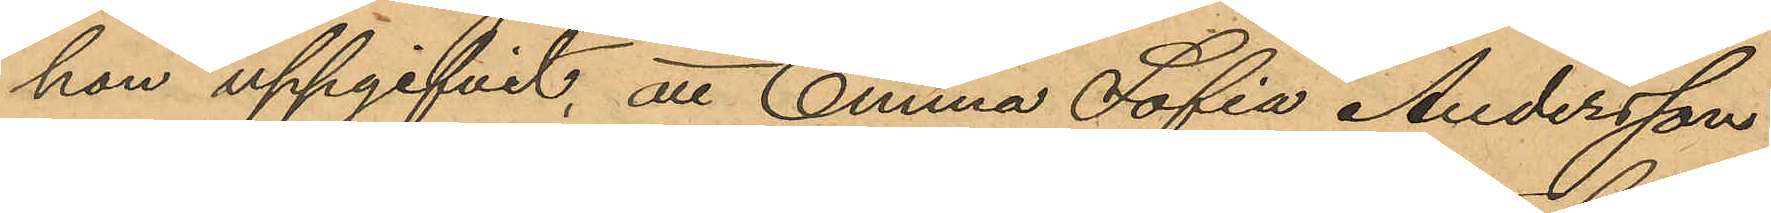hon uppgifvit, att Emma Sofia Andersson
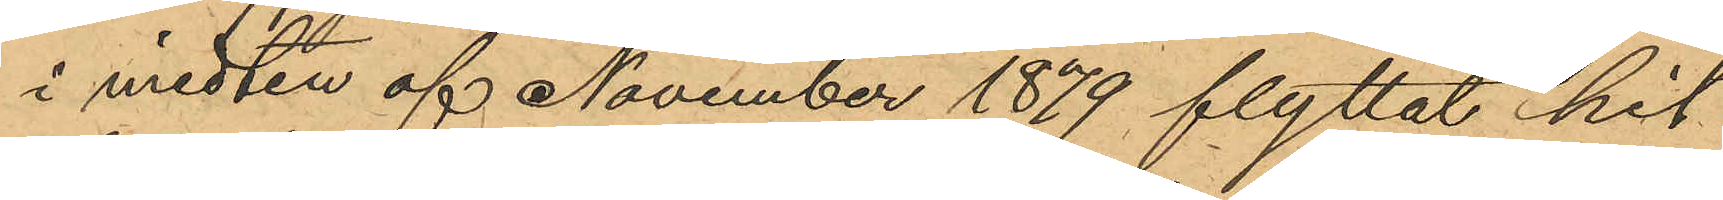i midten af November 1879 flyttat hit
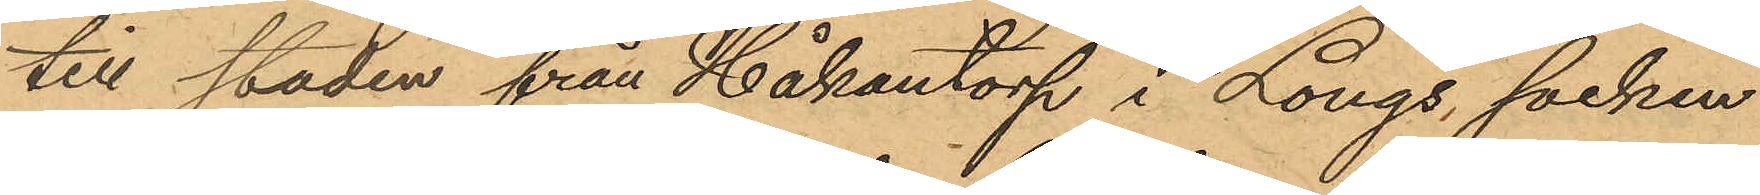till staden från Håkantorp i Longs socken
